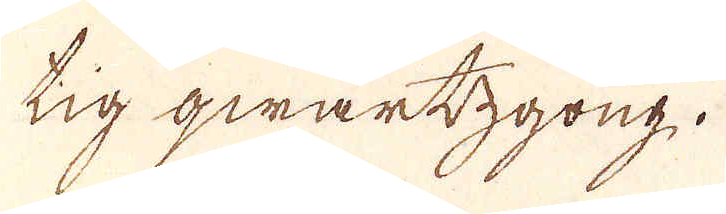tig qwartzgong.
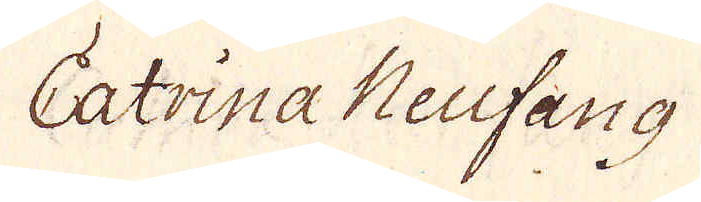Catrina Neufang
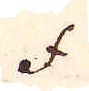f.
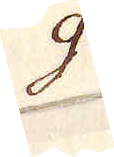g.
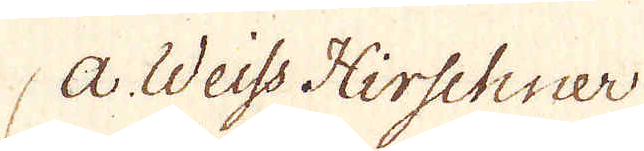a. Weiss Hirschner
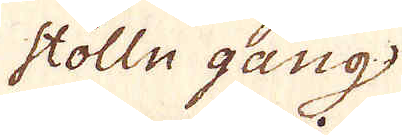Stolln gang
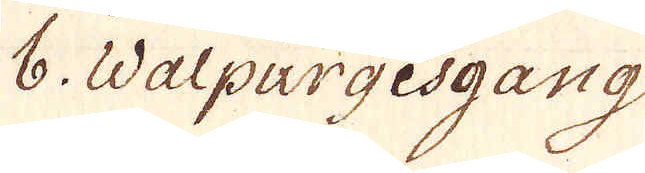b. Walpurgesgang
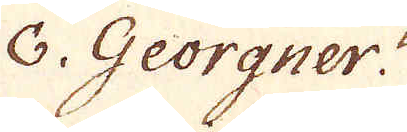c. Georgner.
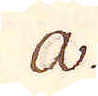a.
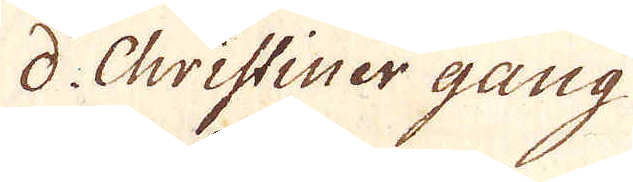d. Christiner gang
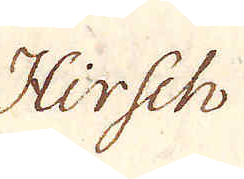Hirsch
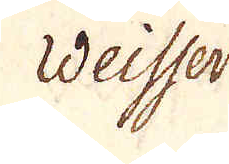weisser
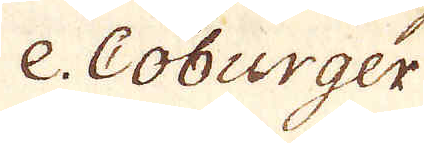e Coburger
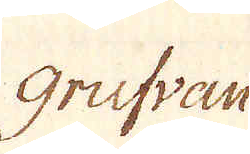grufvan
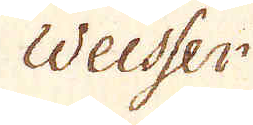Weisser
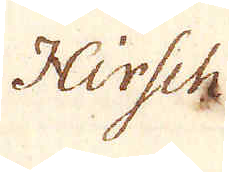Hirsch
